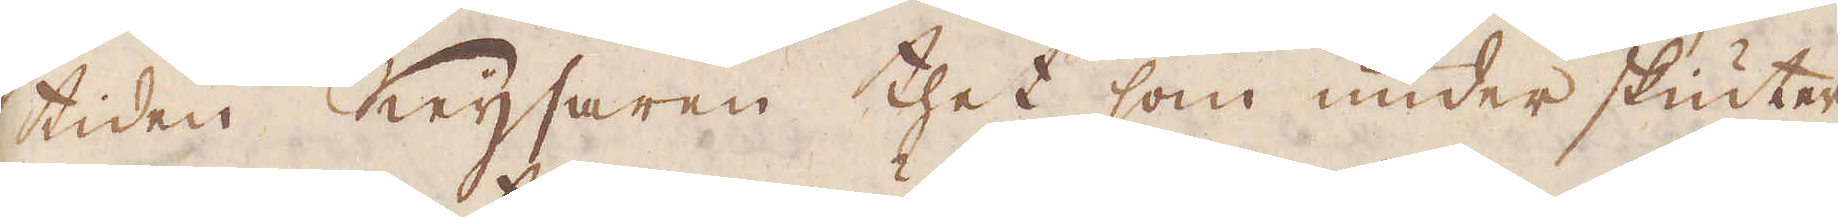tiden Keijsaren thet som under skiuter
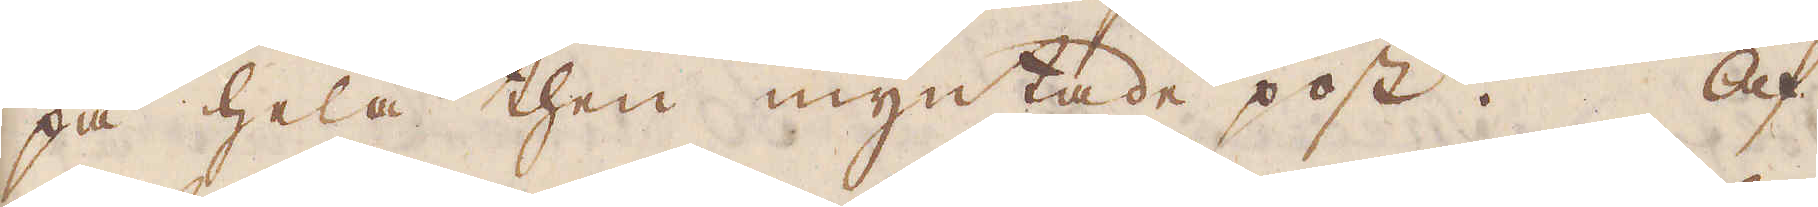på hela then myntade post. Af
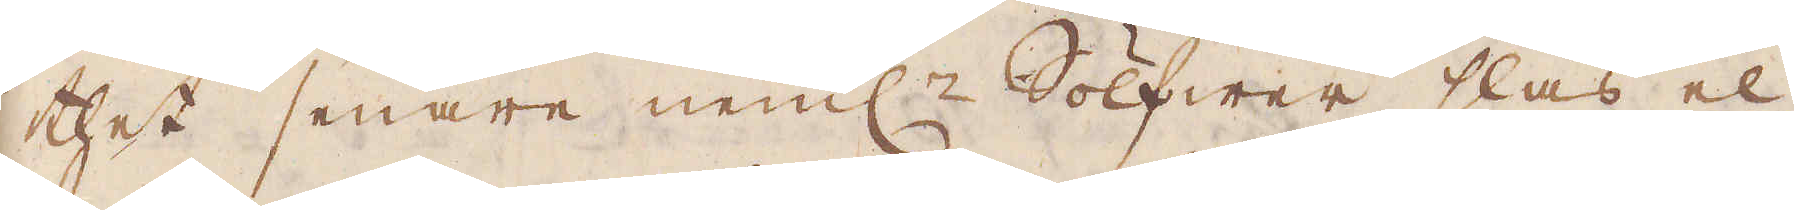thet senare neml:n Sölfwer slås el-
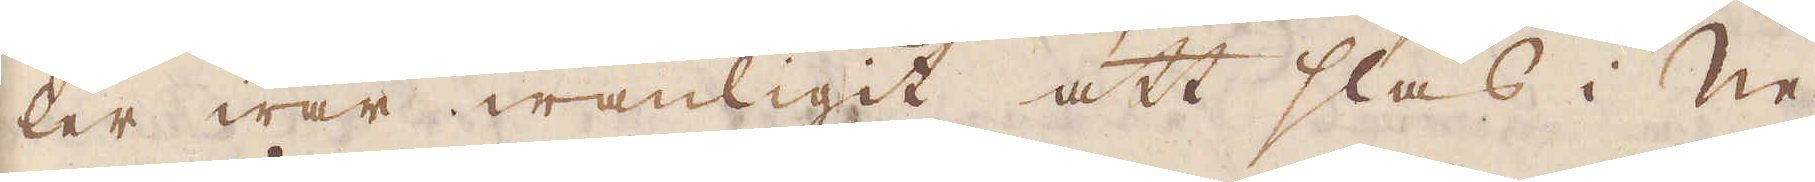ler war wanligit att slås i Ne-
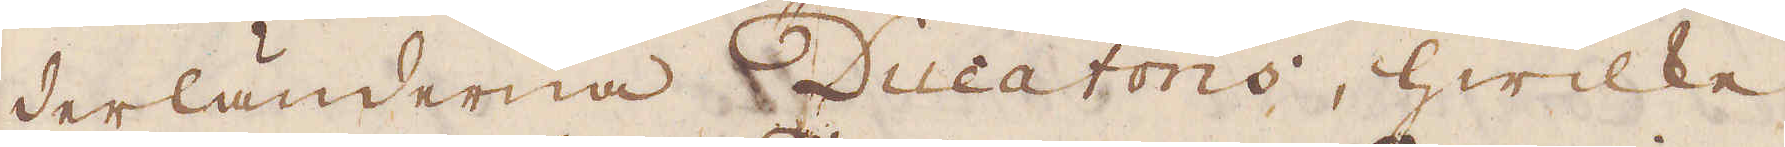derländerna Ducatons, hwilke
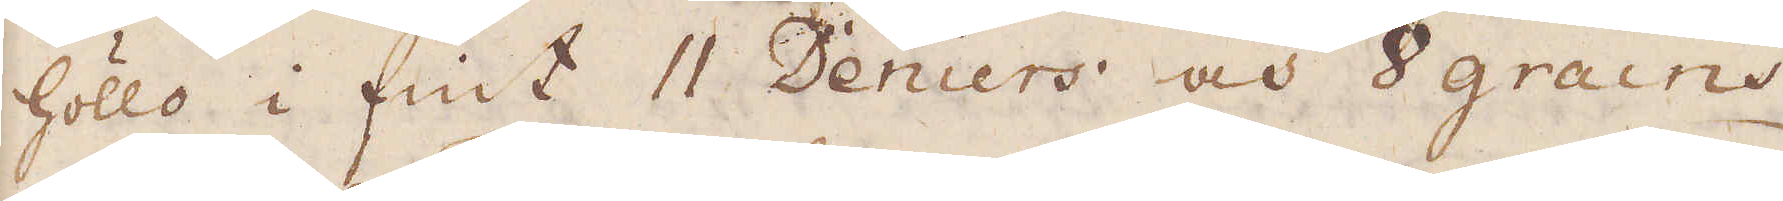höllo i fint 11 Deniers och 8 grains
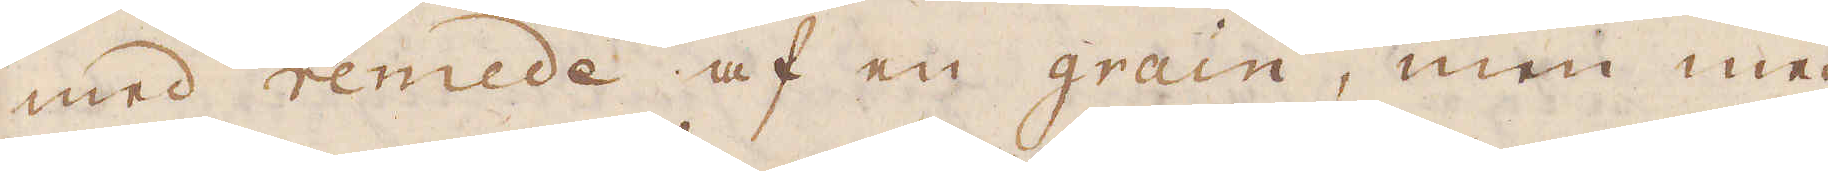med remede af en grain, men med
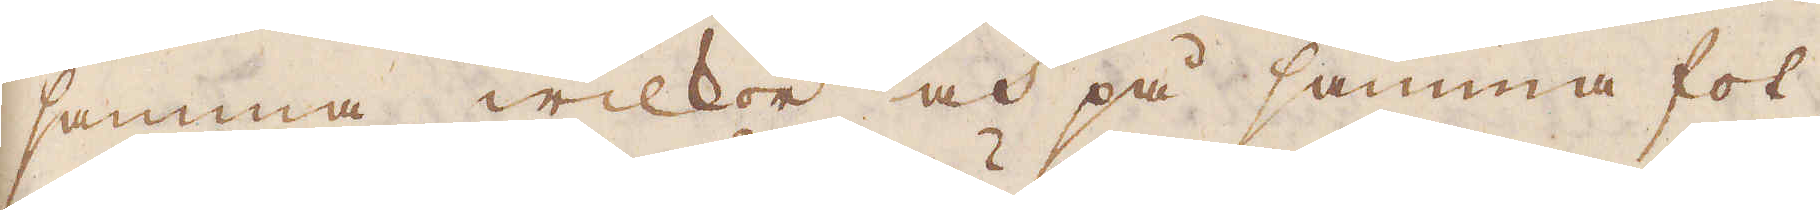samma wilkor och på samma fot,
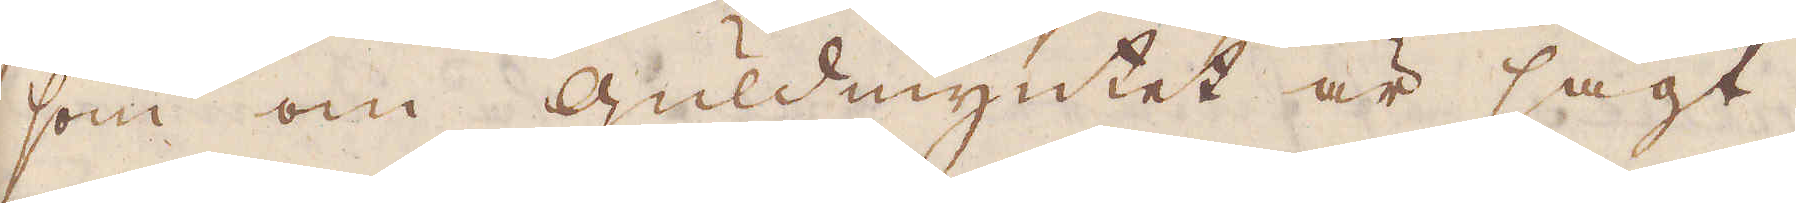som om Guldmyntet är sagt.
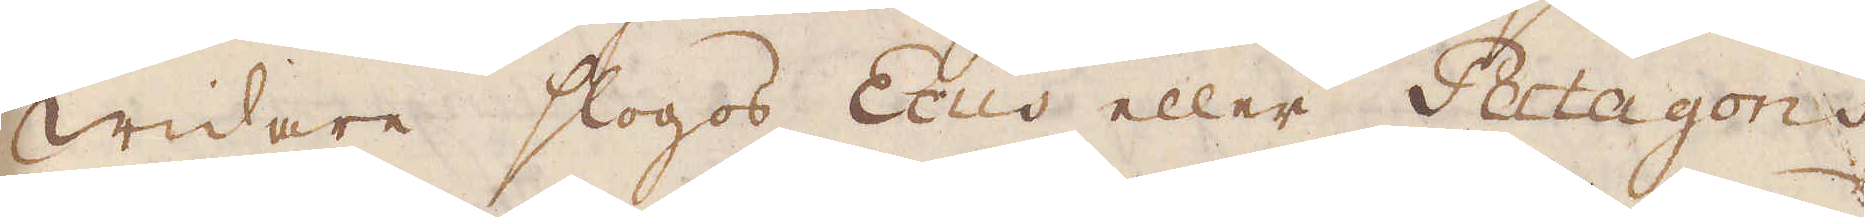Widare slogos Ecus eller Patagons
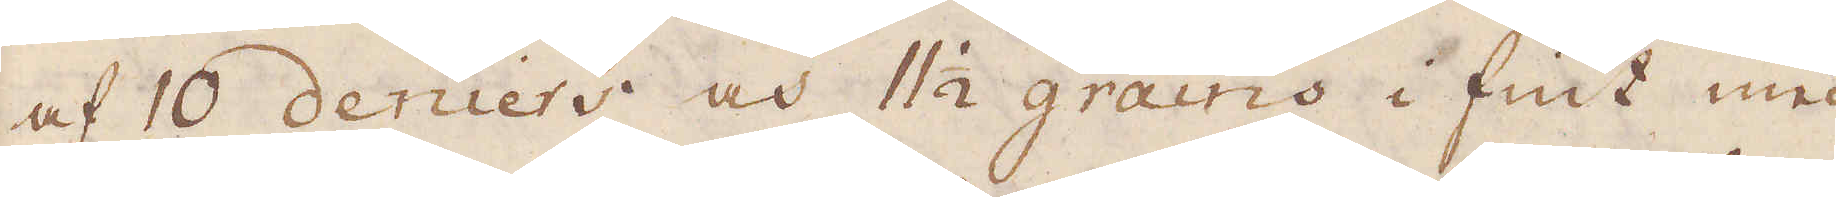af 10 deniers och 11 1/2 grains i fint med
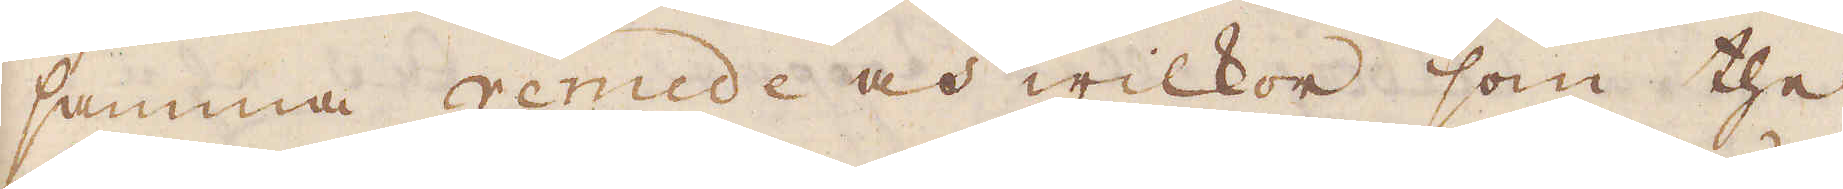samma remede och wilkor som the
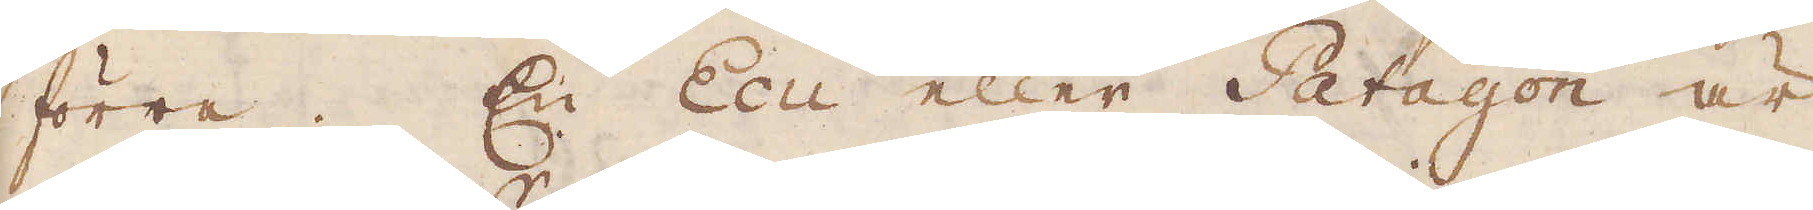förra. En Ecu eller Patagon är
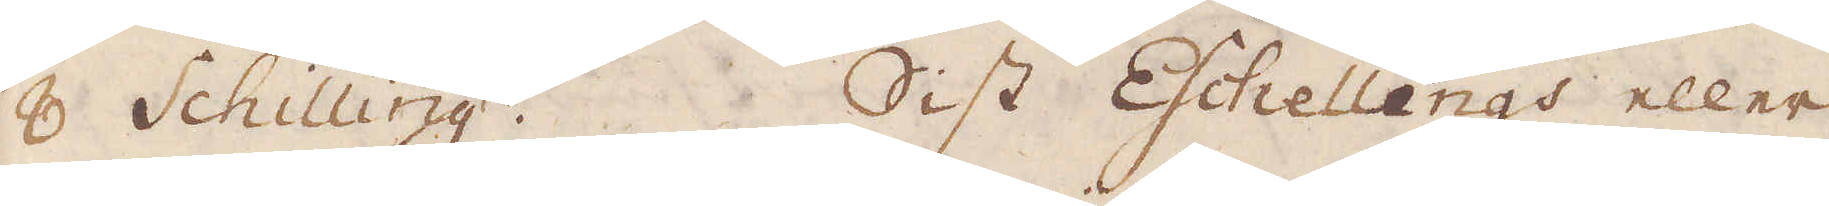8 Shilling:r. Sist Eschellings eller
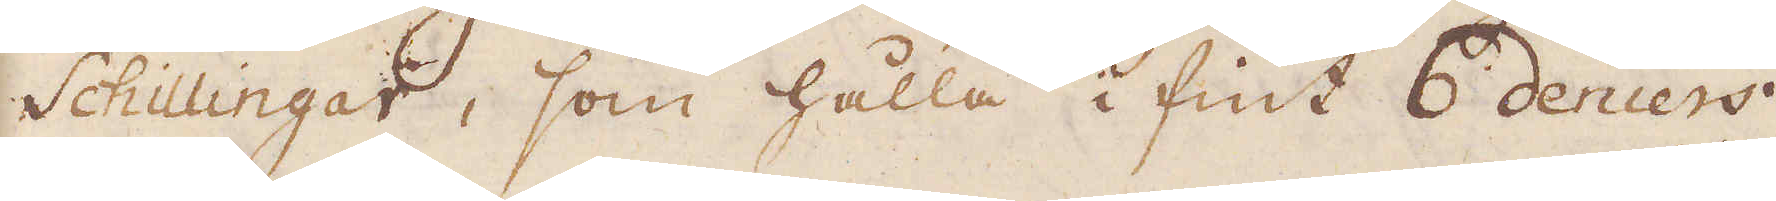Schillingar, som hålla i fint 6 deniers
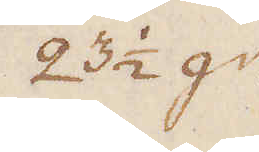23 1/2 gr
